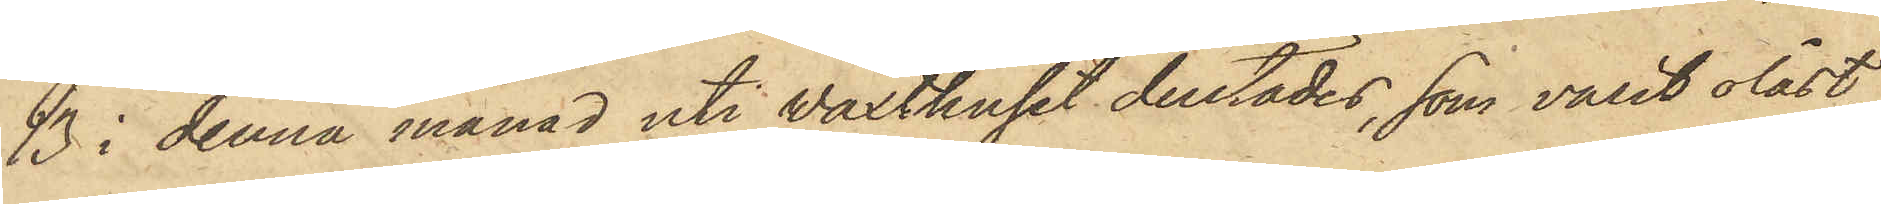13 i denna månad uti Växthuset derstädes, som varit olåst,
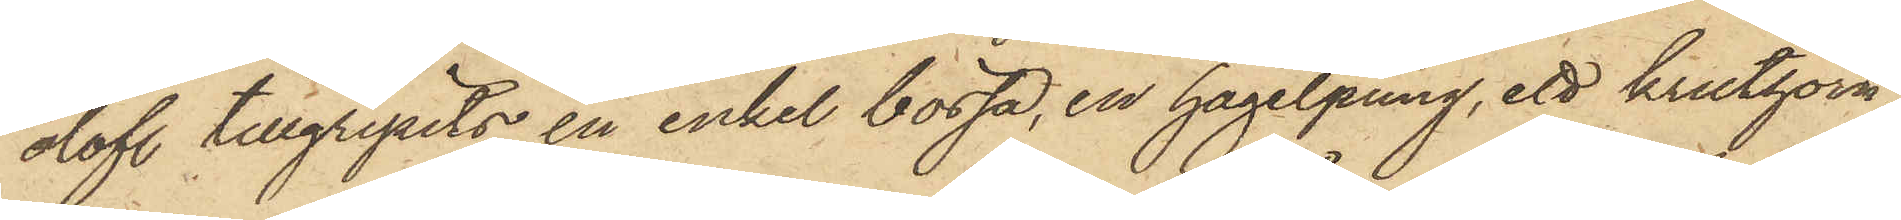olofl. tillgripits en enkel bössa, en hagelpung, ett kruthorn,
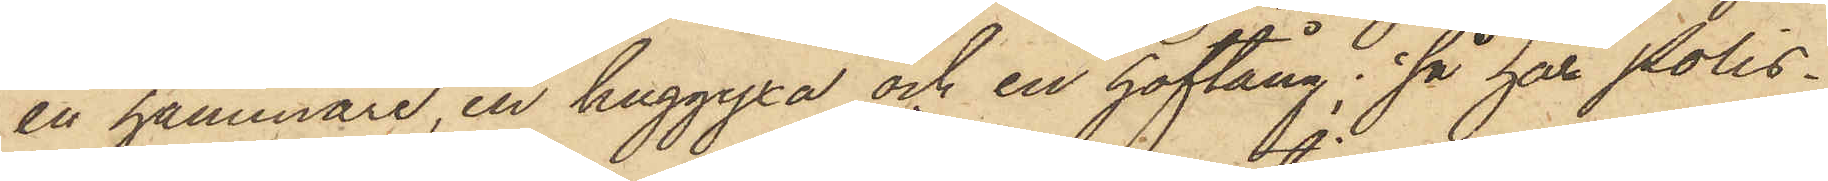en hammare, en huggyxa och en hoftång; så har Polis¬
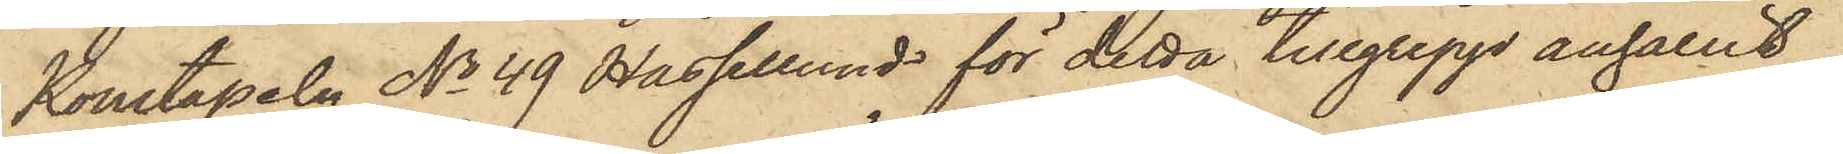Konstapeln No 49 Hassellund för detta tillgrepp anhållit
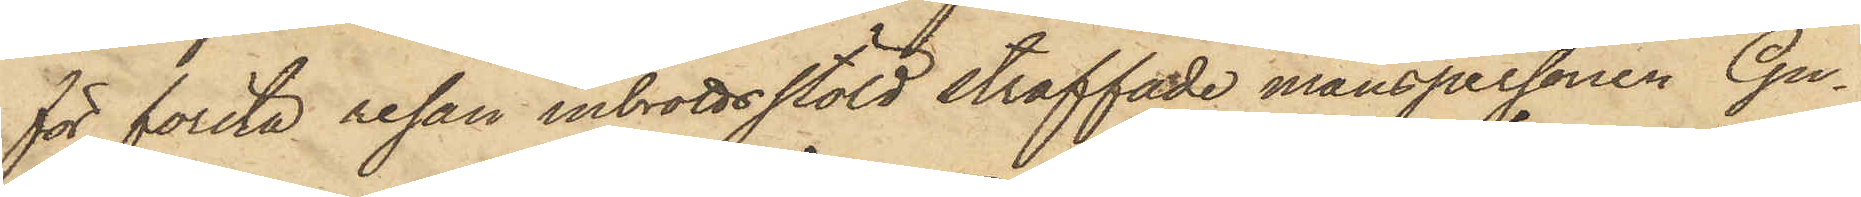för första resan inbrottsstöld straffade manspersonen Gu¬
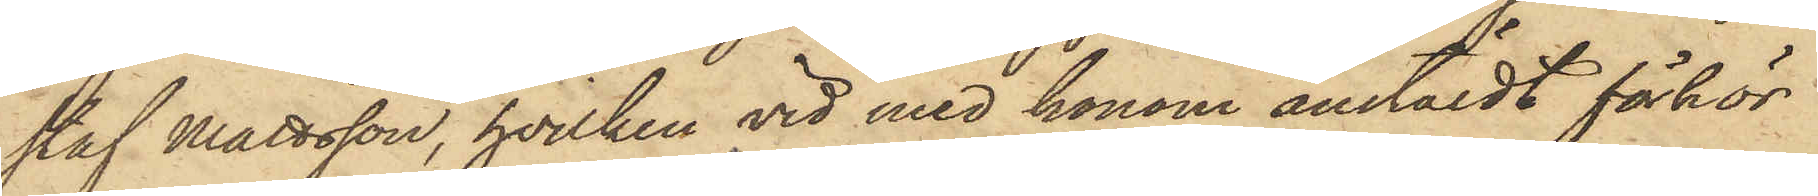staf Mattsson, hvilken vid med honom anstäldt förhör
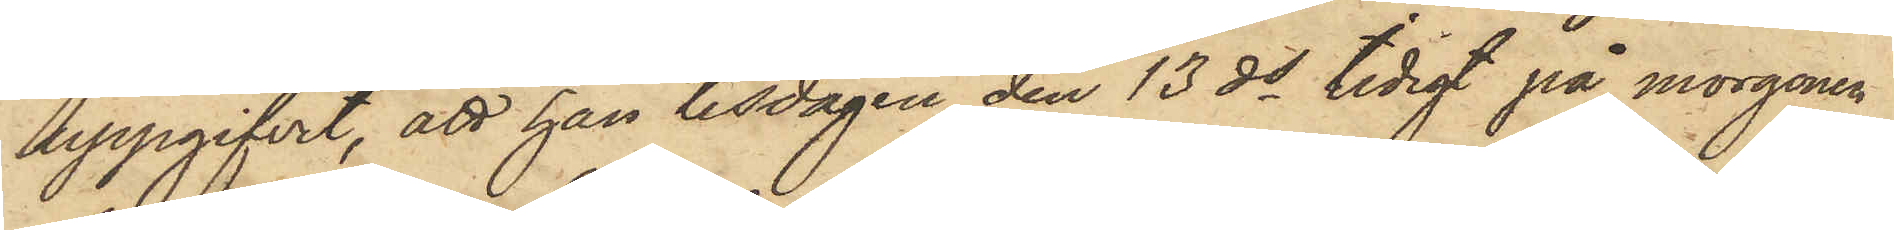uppgifvit, att han tisdagen den 13 ds tidigt på morgonen
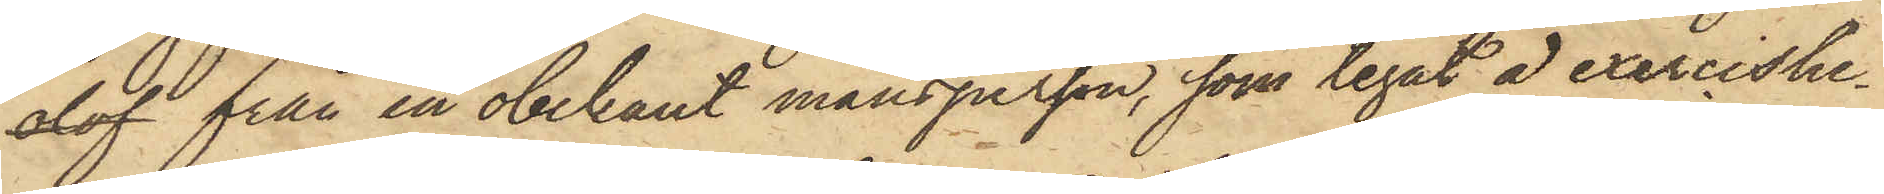olof från en obekant mansperson, som legat å exercishe¬
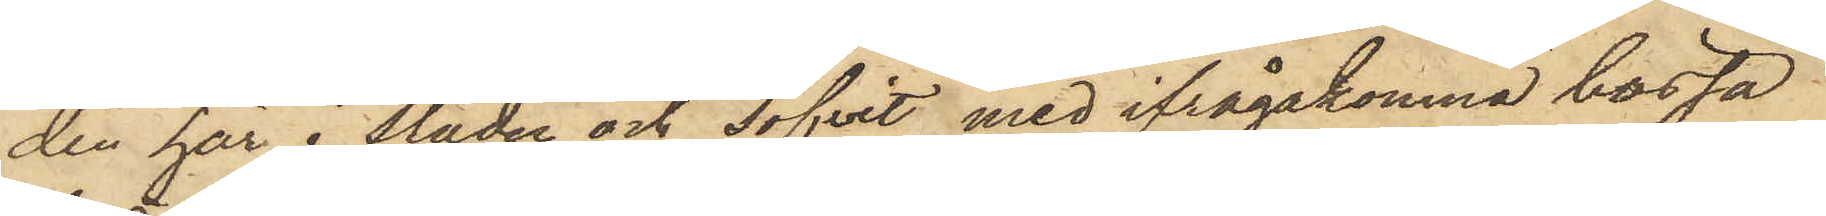den här i staden och sofvit med ifrågakomne bössa
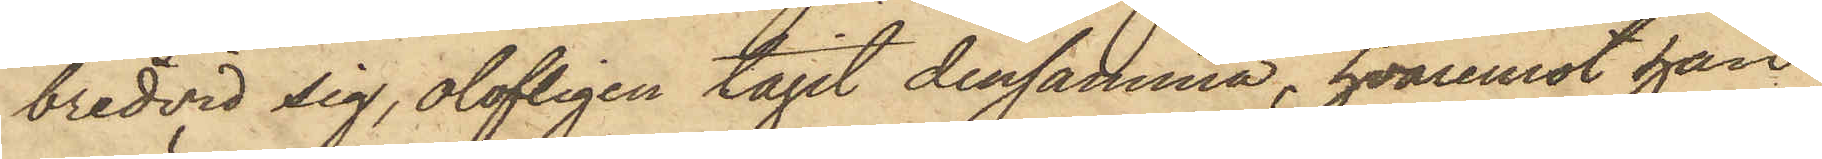bredvid sig, olofligen tagit densamma, hvaremot han
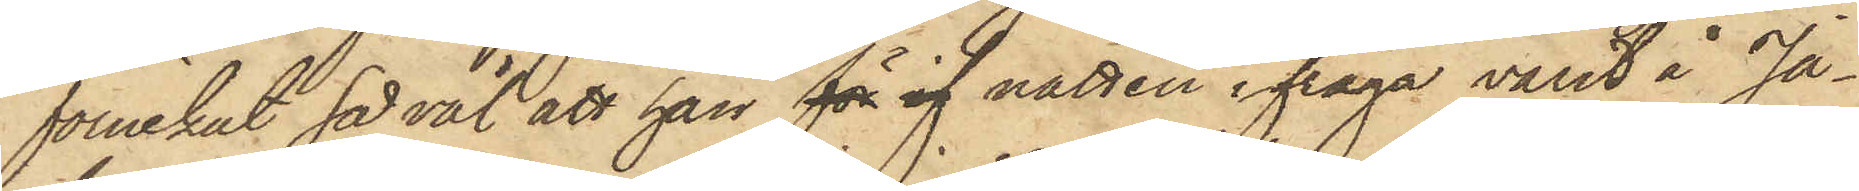förnekat så väl att han för if natten ifråga varit å Ja¬
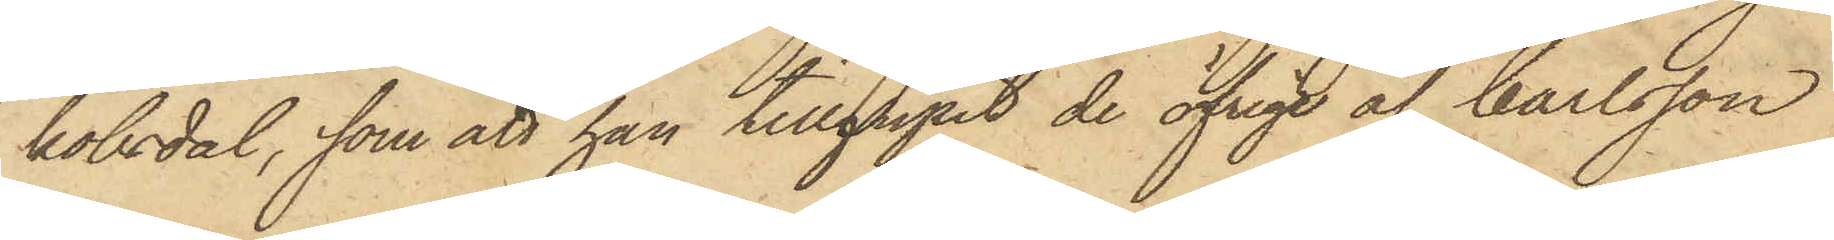kobsdal, som att han tillgripit de öfrige af Carlsson
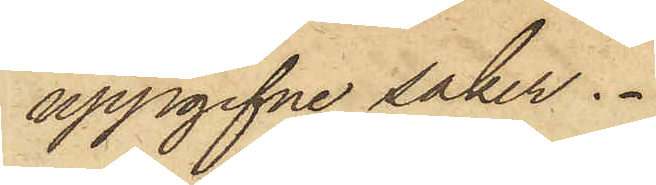uppgifne saker.
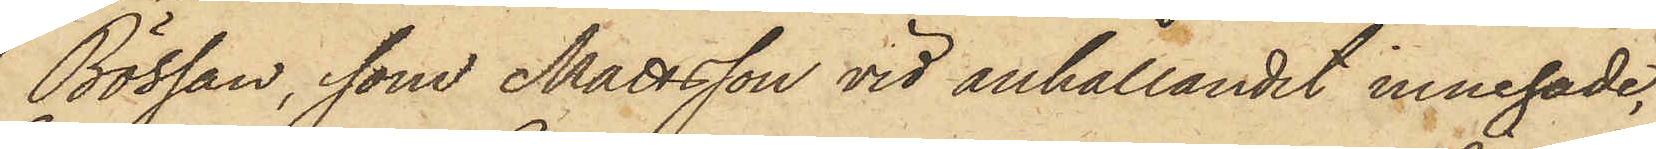Bössan, som Mattsson vid anhållandet innehade,
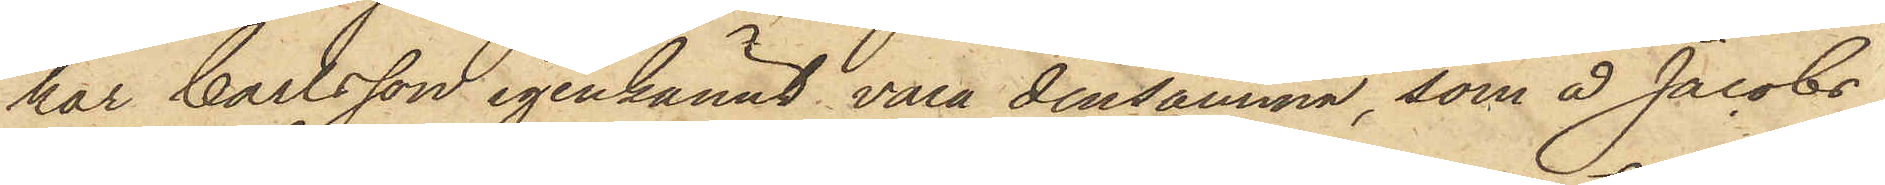har Carlsson igenkännt vara densamma, som å Jacobs¬
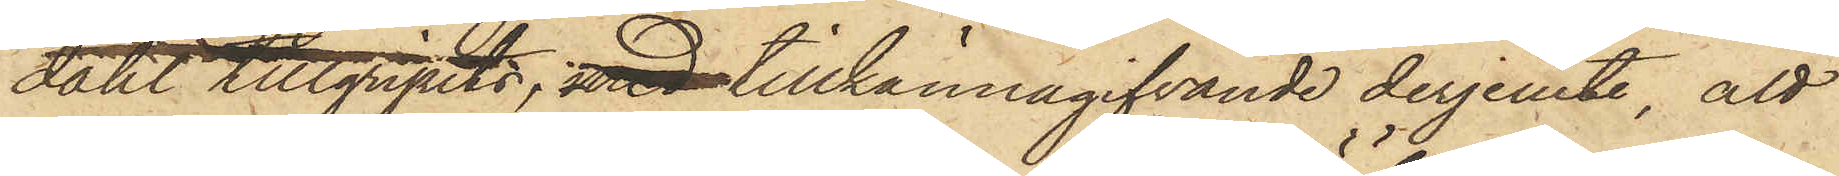dahl tillgripits, med tillkännagifvande derjemte, att
